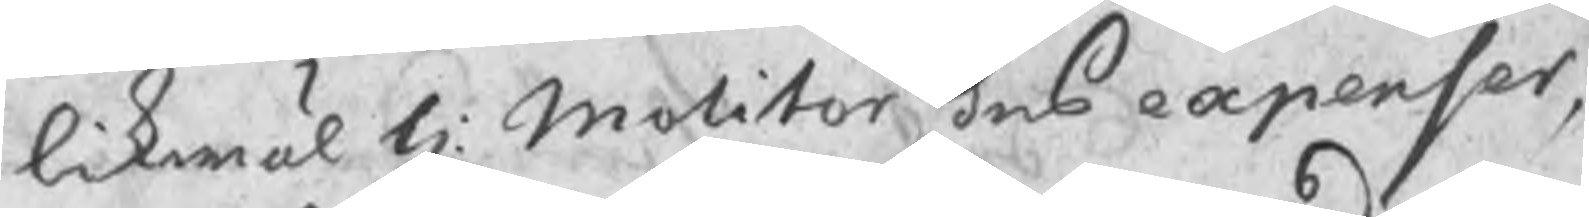likwäl H: Molitor des expenser,
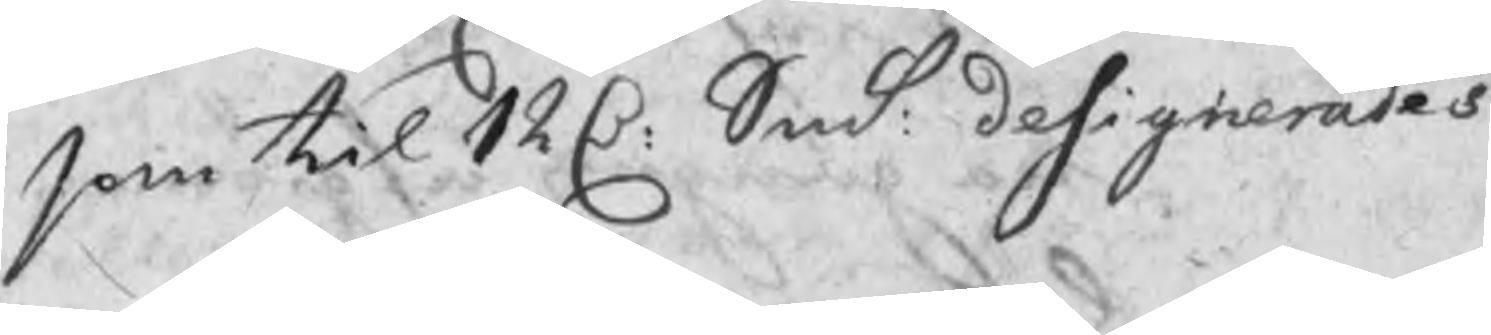som til 12 C: Smt designerades
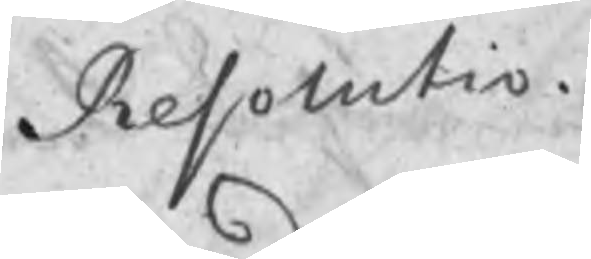Resolutio
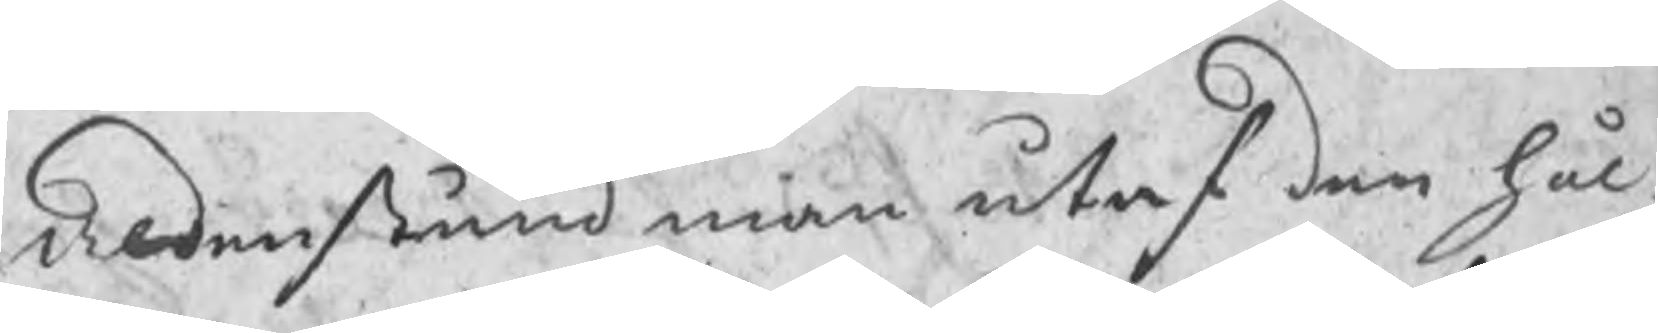Aldenstund man utaf den hål¬
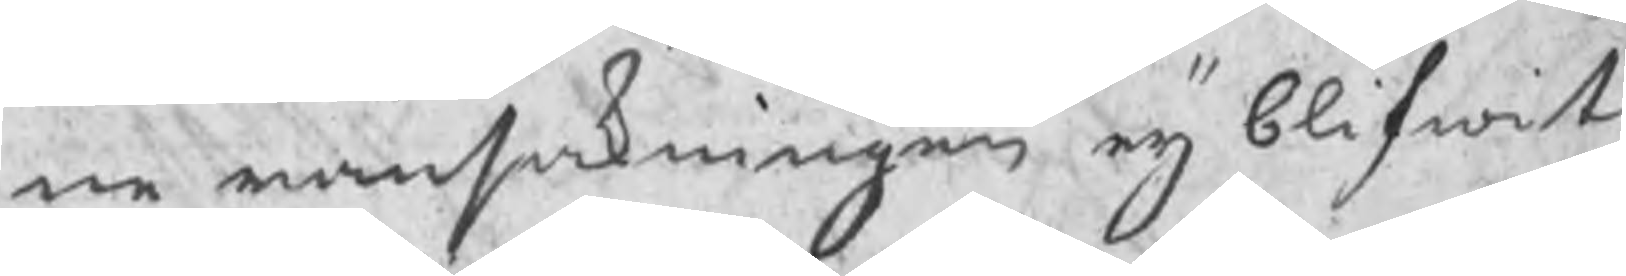ne ransakningen eij blifwit
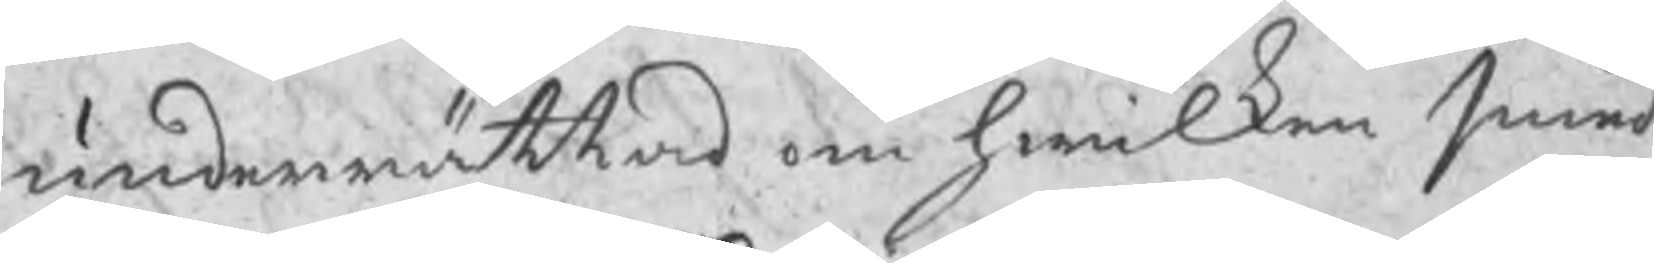underrättad om hwilken smed
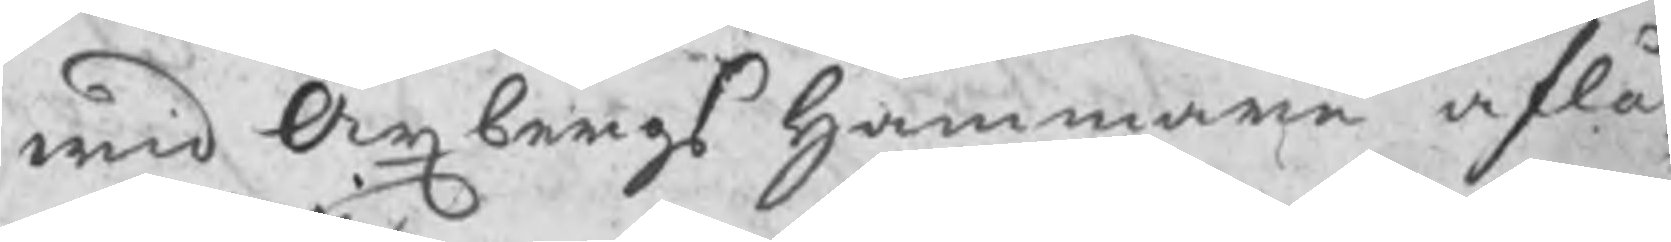wid Axbergs Hammare aflå¬
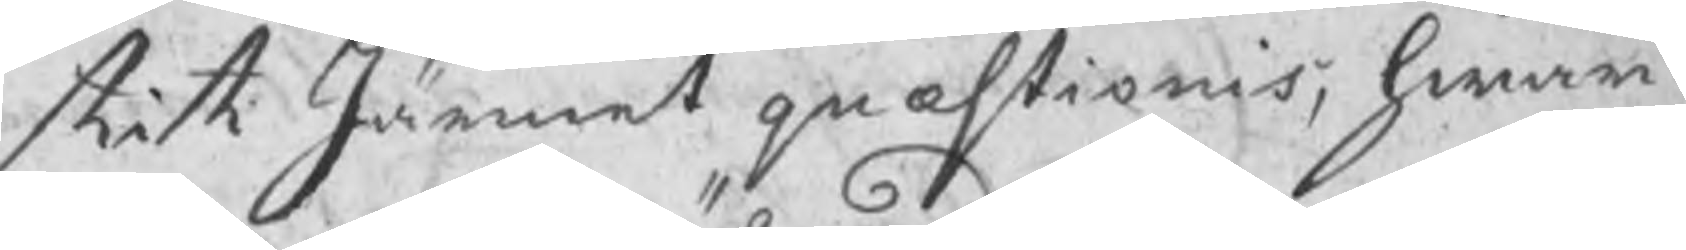tit Järnet quæstionis, hwar¬
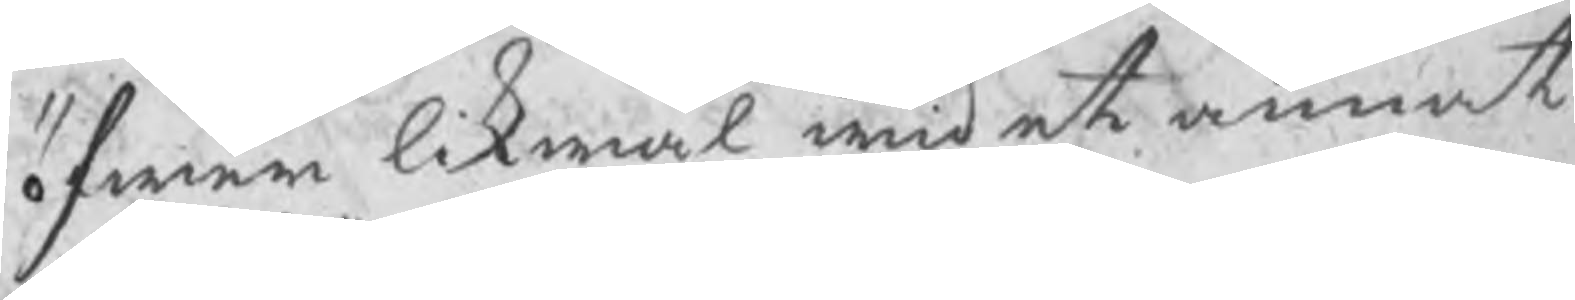öfwer likwäl wid et annat
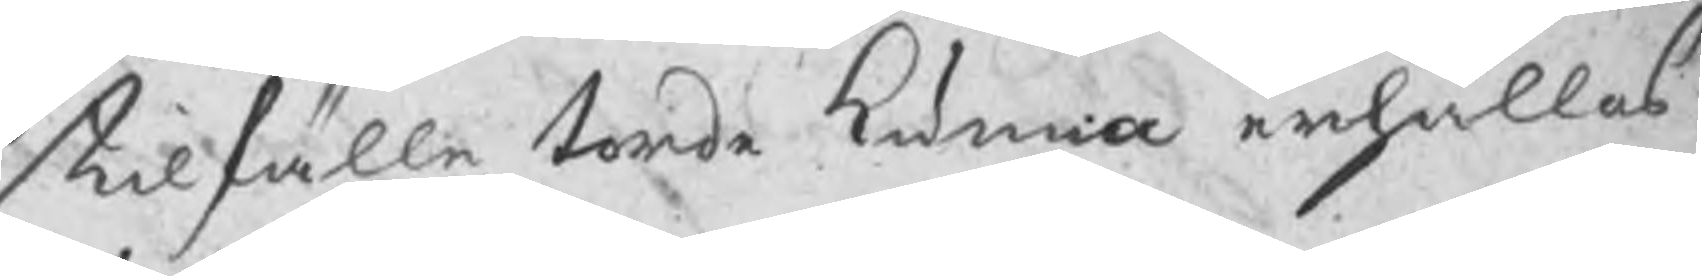tilfälle torde kunna erhållas
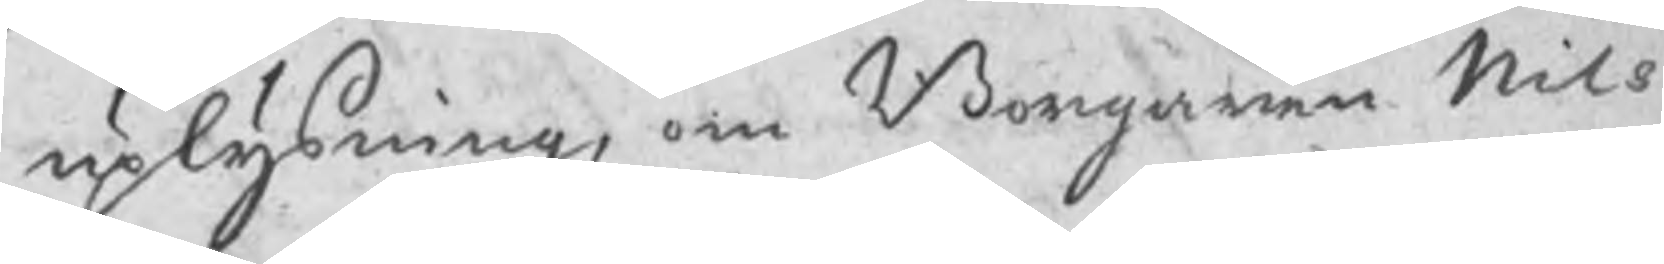uplysning, om Borgaren Nils
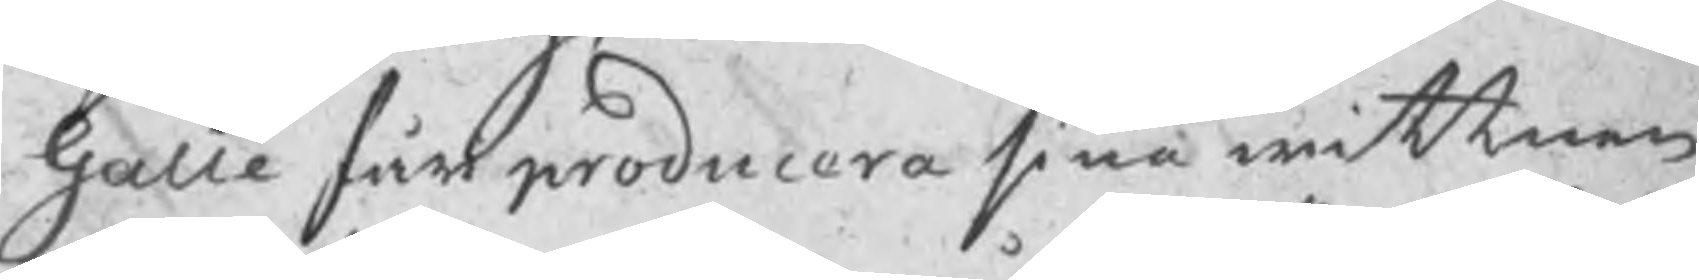Galle får producera sina wittnen
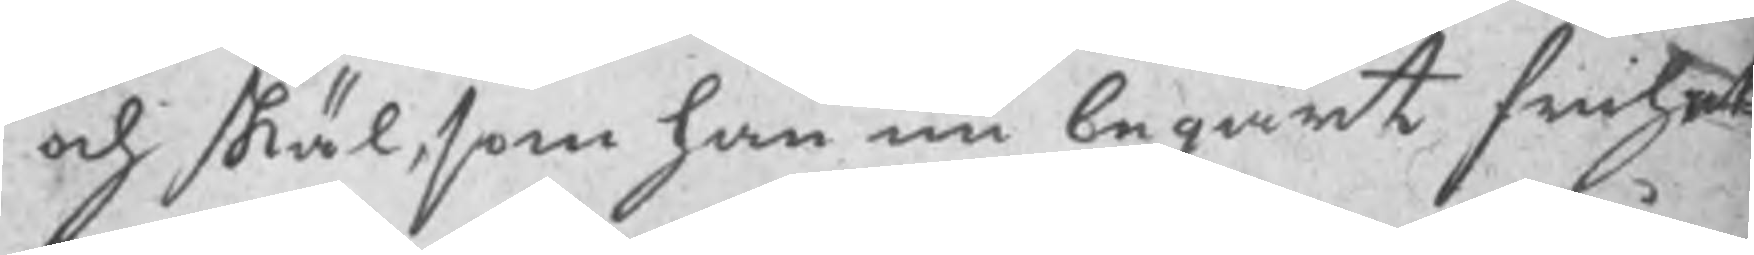och skäl, som han nu begärt frihet
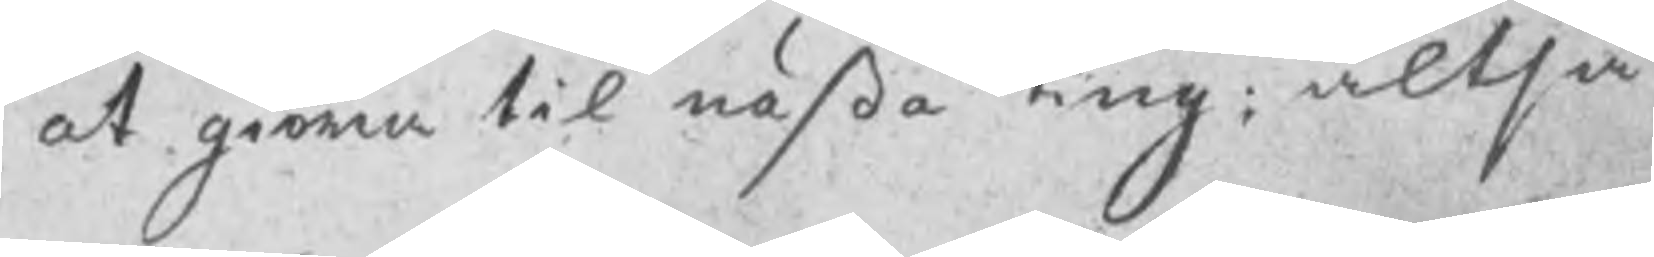at giöra til nästa ting; altså
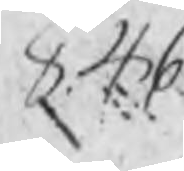846
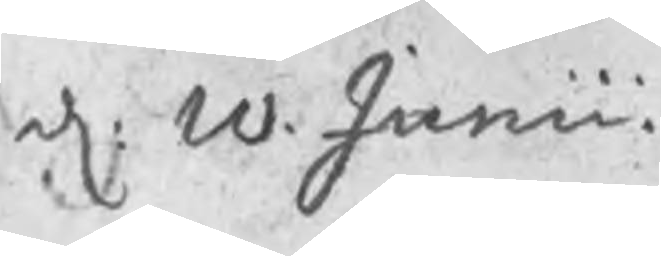d: 10 Junii
